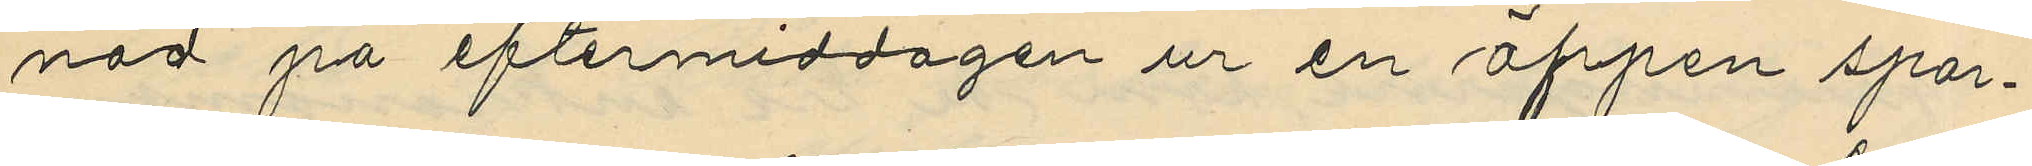nad på eftermiddagen ur en öppen spar¬
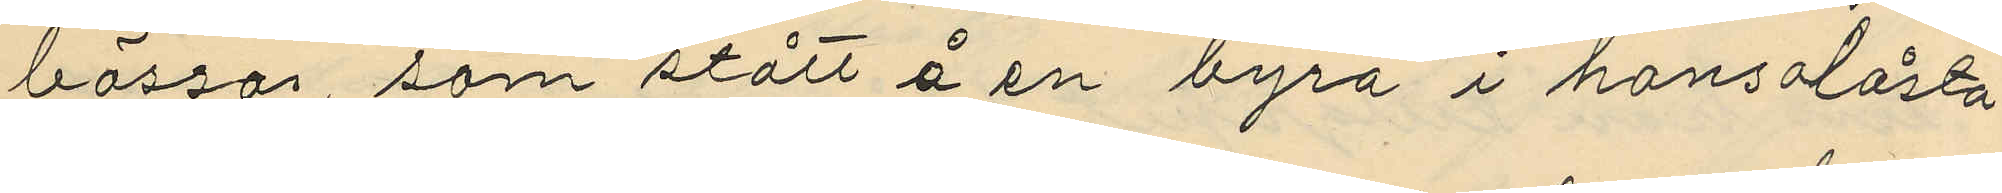bössa som stått å en byrå i hans olåsta
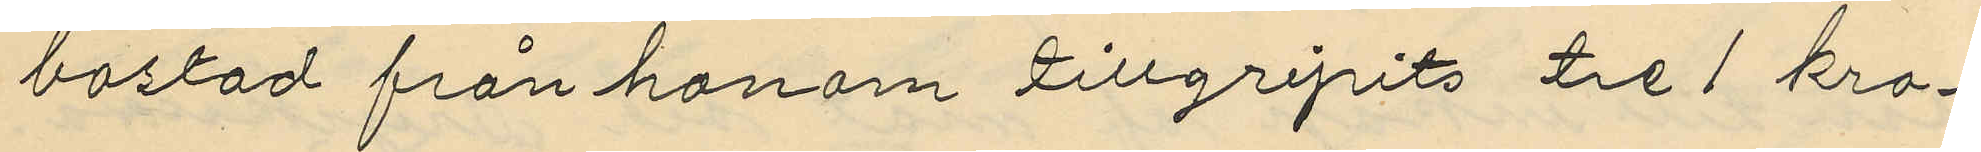bostad från honom tillgripits tre 1 kro¬
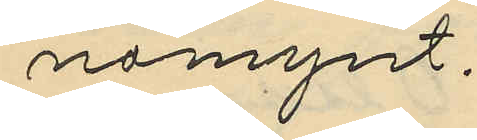nomynt.
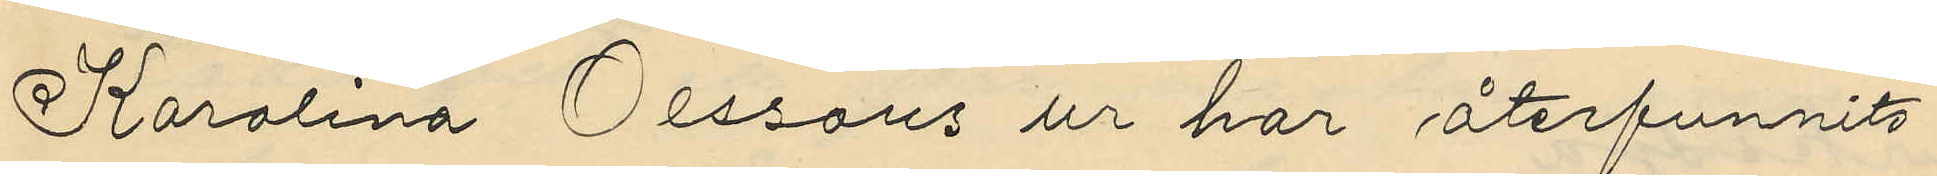Karolina Olssons ur har återfunnits
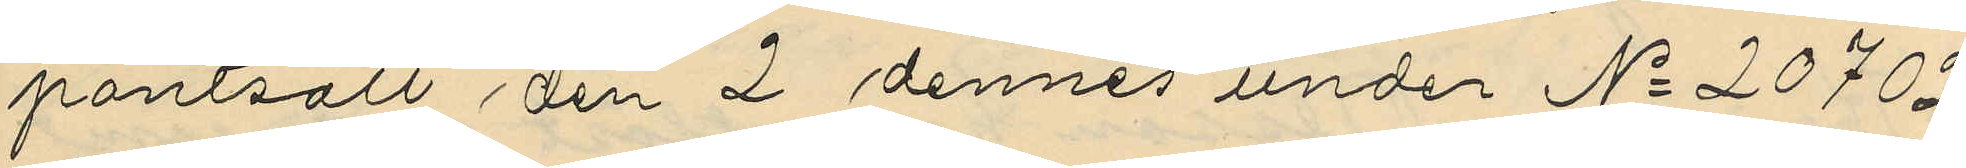pantsatt den 2 dennes under No 20702
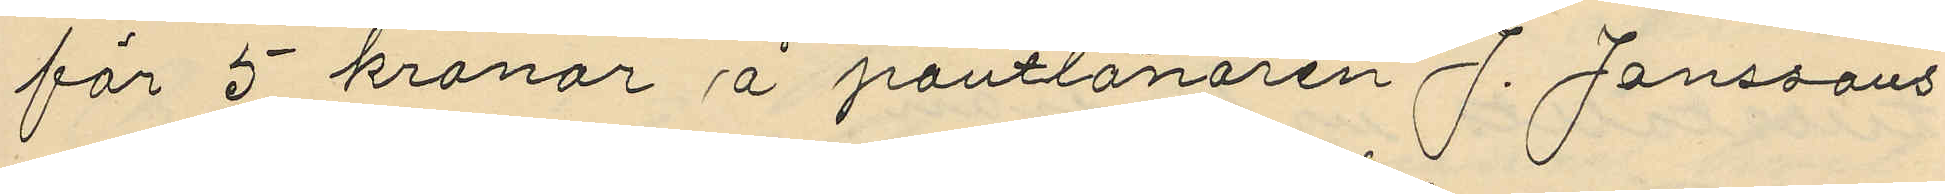för 5 kronor å pantlånaren J. Janssons
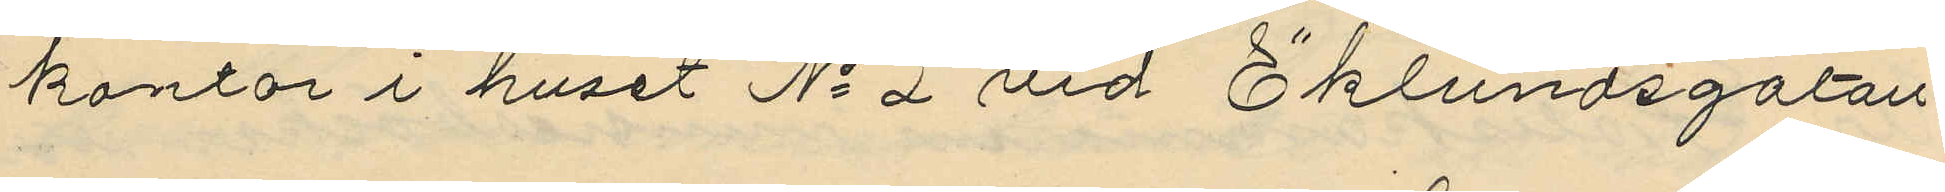kontor i huset No 2 vid Eklundsgatan
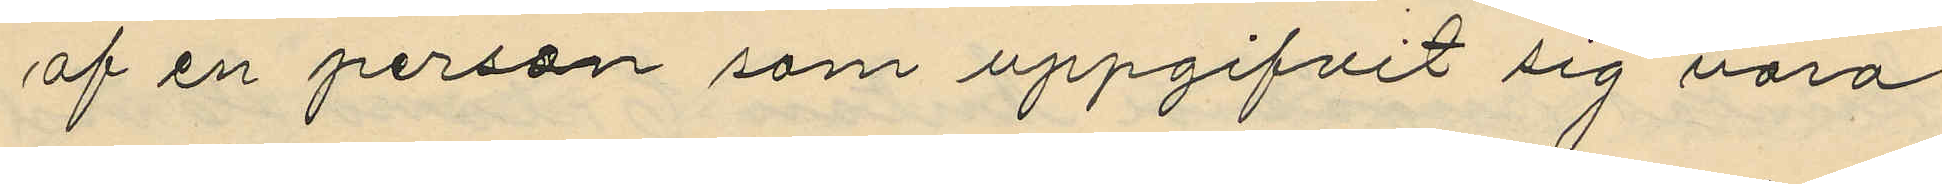af en person som uppgifvit sig vara
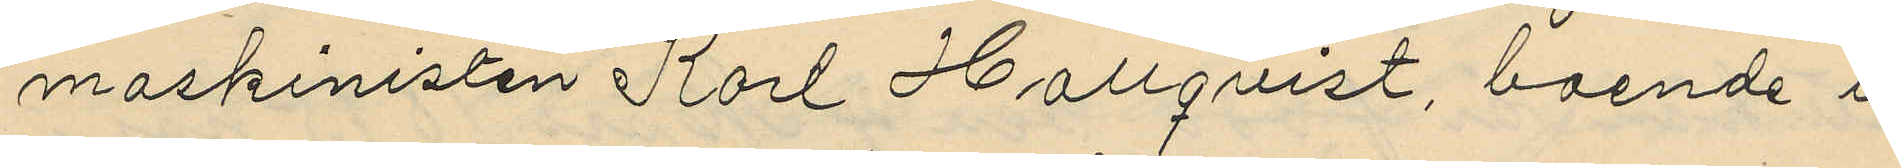maskinisten Karl Hallqvist, boende i
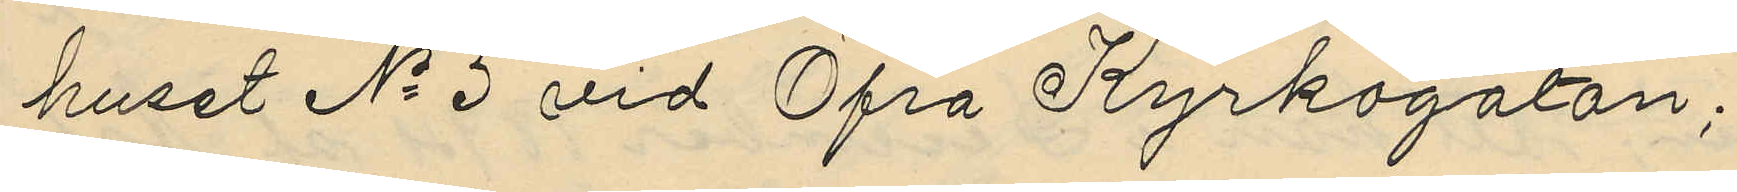huset No 5 vid Öfra Kyrkogatan;
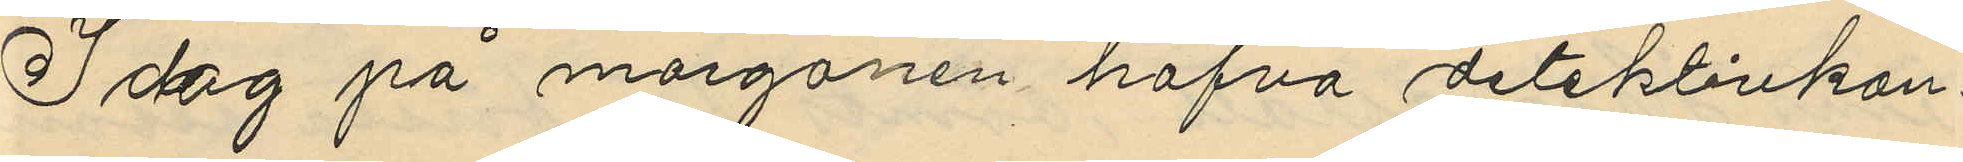Idag på morgonen hafva detektivkon¬
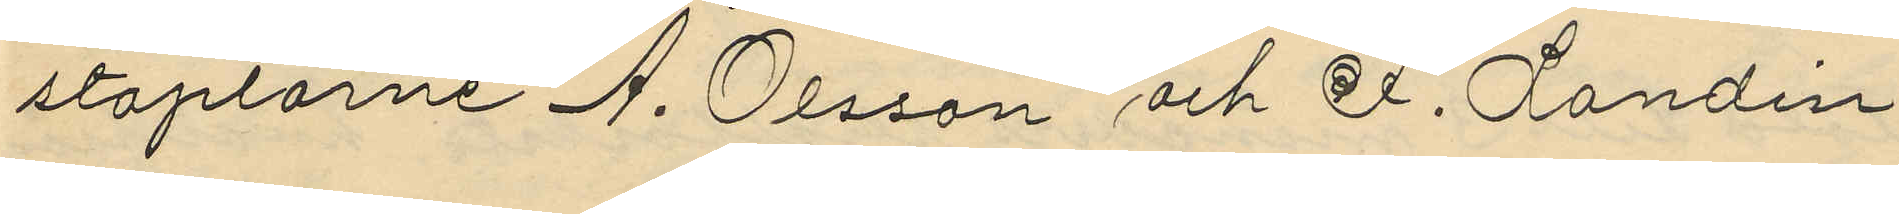staplarne A. Olsson och F. Landin
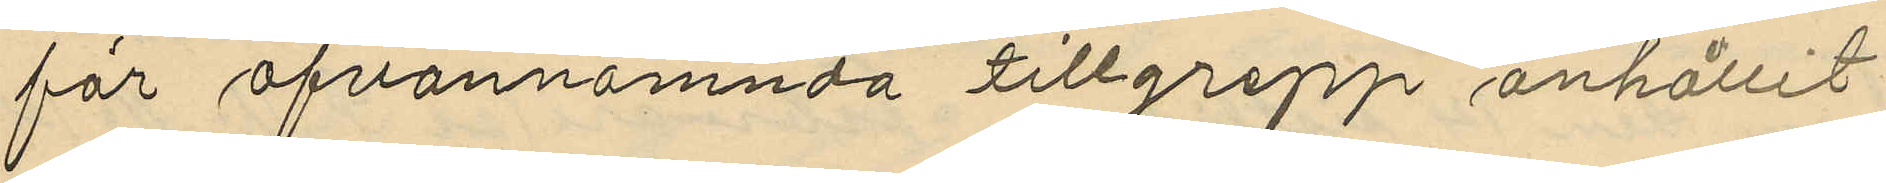för ofvannämnda tillgrepp anhållit
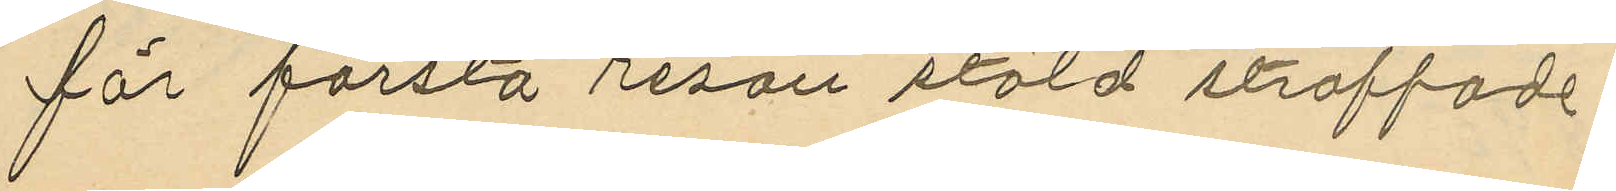för första resan stöld straffade
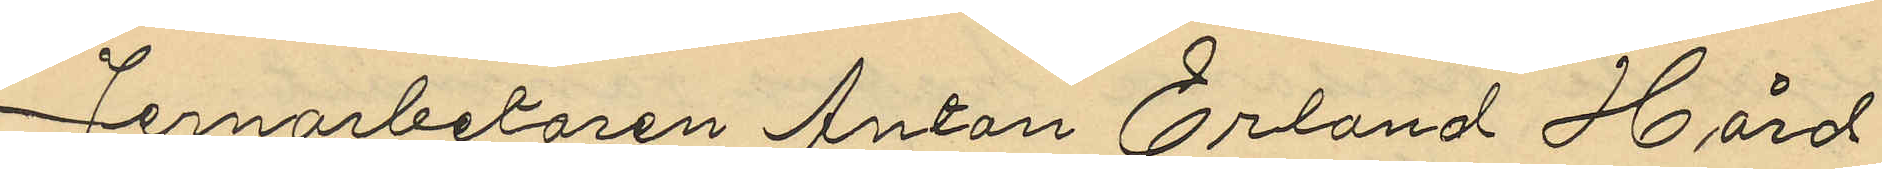Jernarbetaren Anton Erland Hård
